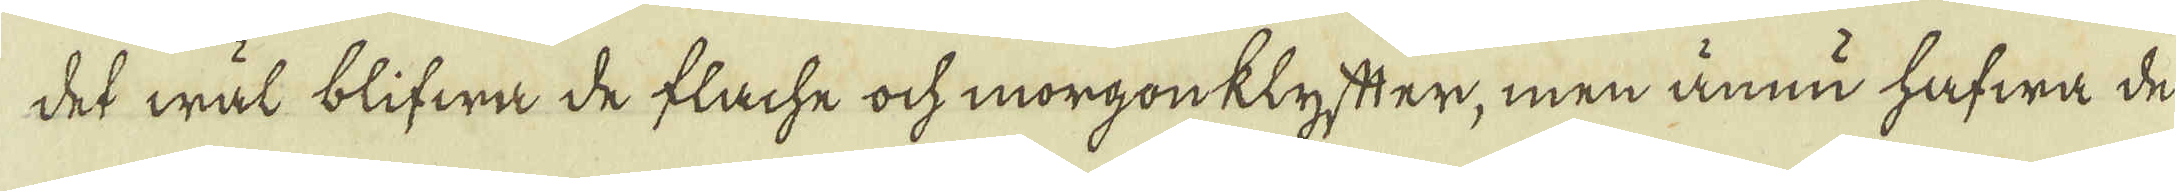det wäl blifwa de flache ock morgonklyfter, men ännu hafwa de
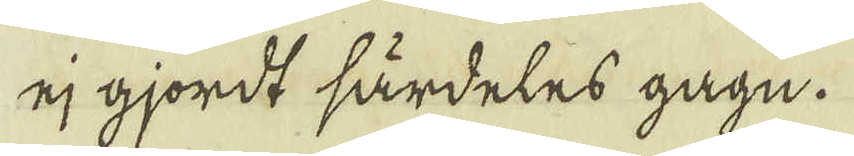ej gjordt särdeles gagn.
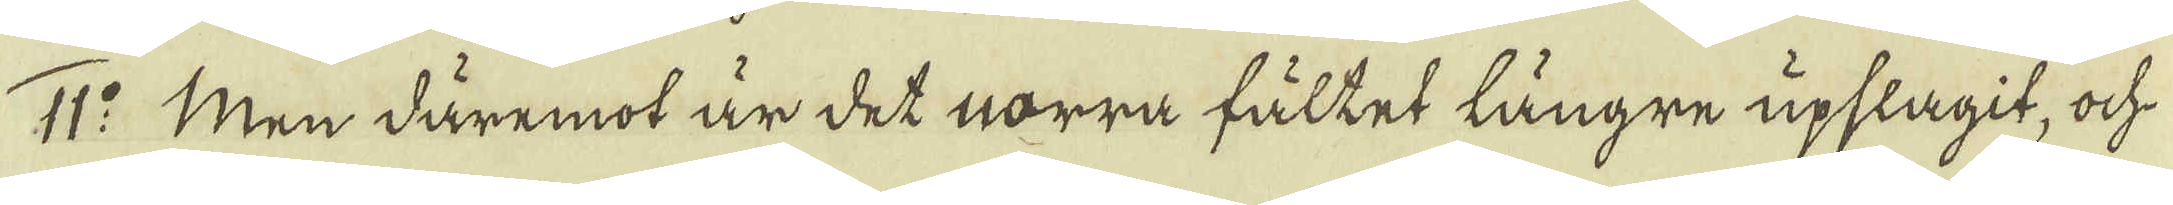11:o Men däremot är det norra fältet längre upslagit, ock
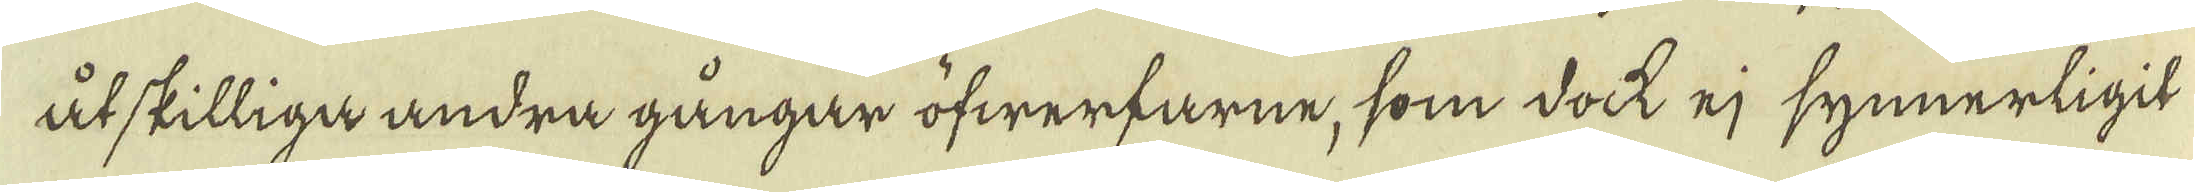åtskilliga andra gångar öfwerfarne, som dock ej synnerligit
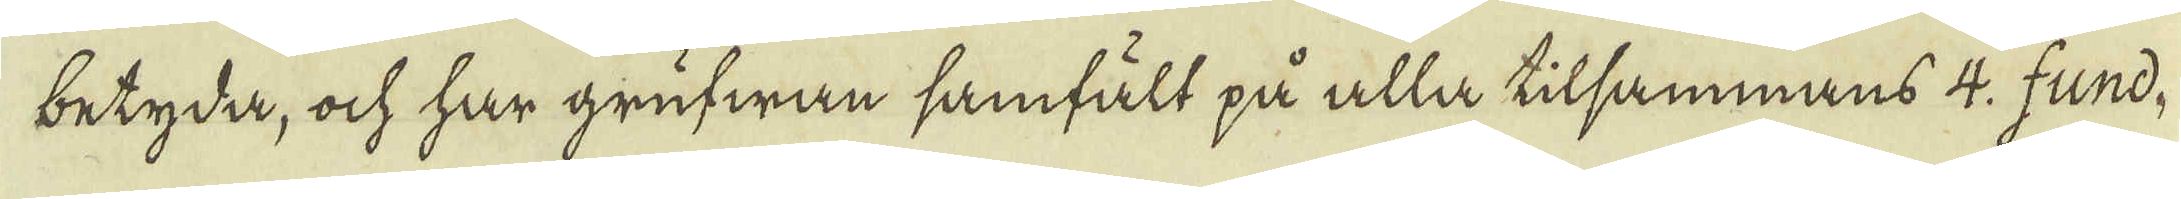betyda, ock har grufwan samfält på alla tilsammans 4. fund-
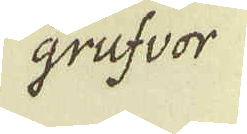grufvor
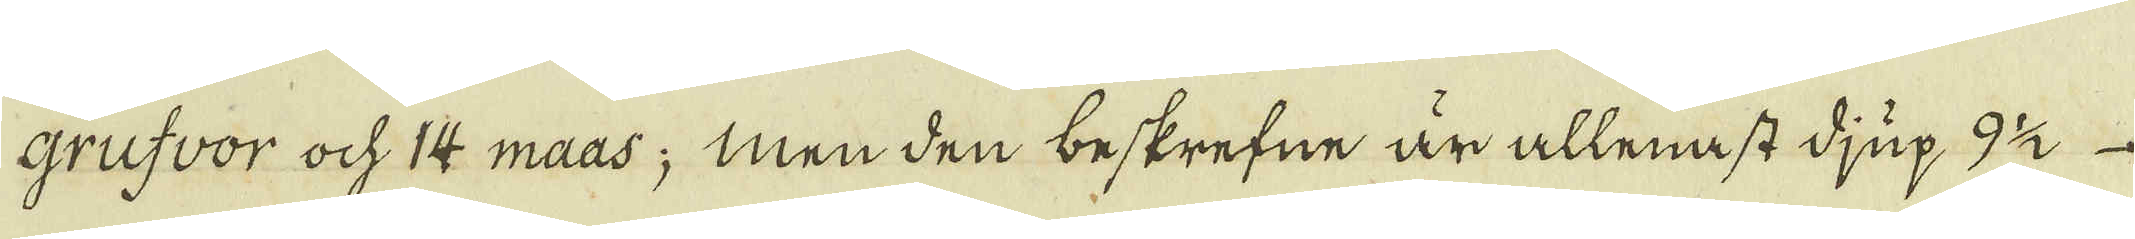grufvor ock 14 maas; men den beskrefne är allenast djup 9 1/2
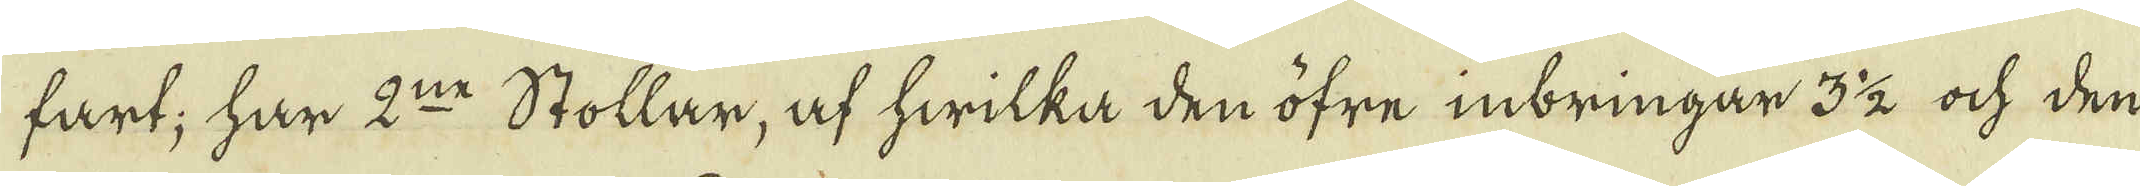fart; har 2:ne Stollar, af hwilka den öfre inbringar 3 1/2 ock den
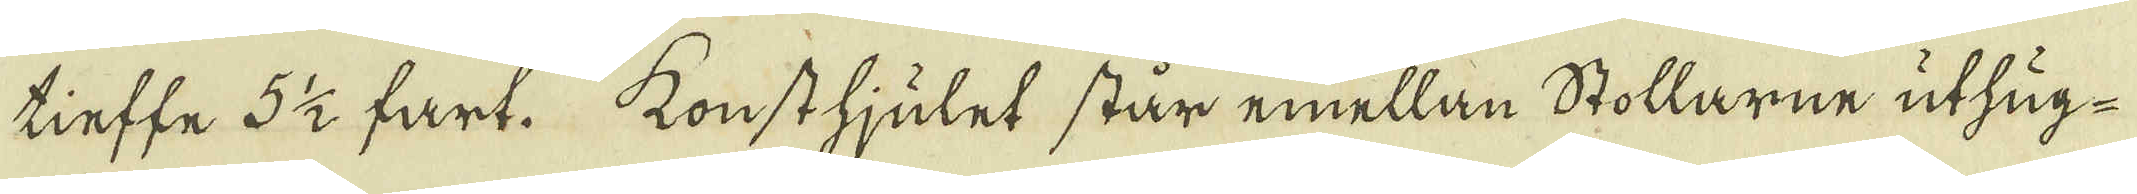tieffe 5 1/2 fart. konsthjulet står emellan Stollarne uthug-
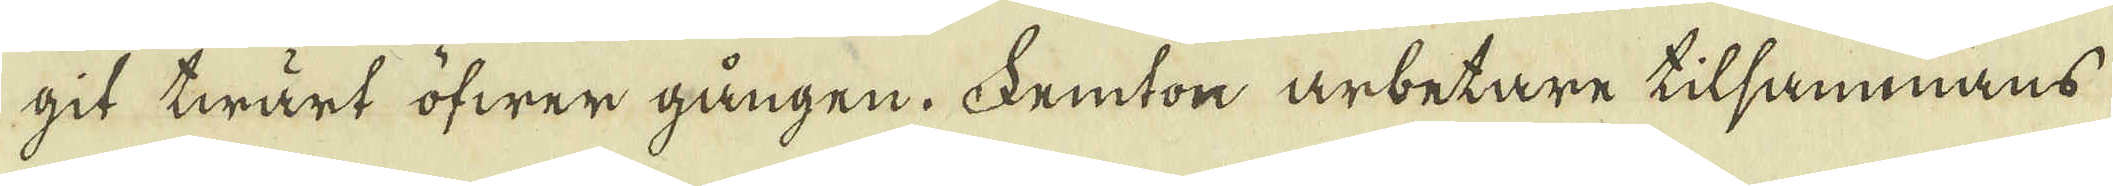git twärt öfwer gången. Femton arbetare tilsammans
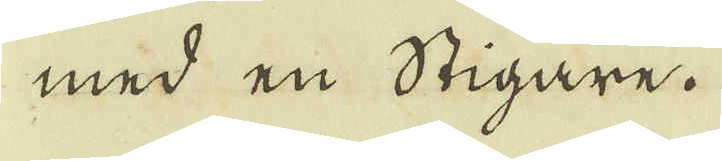med en Stigare.
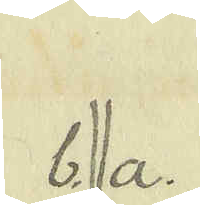b. a.
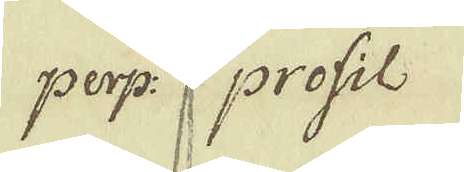perp: profil
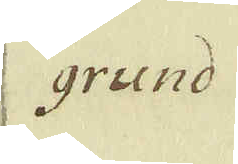grund
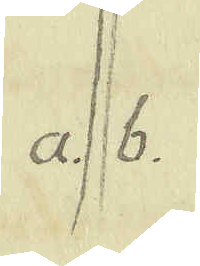a. b.
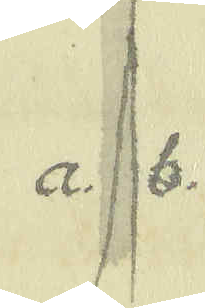a. b.
